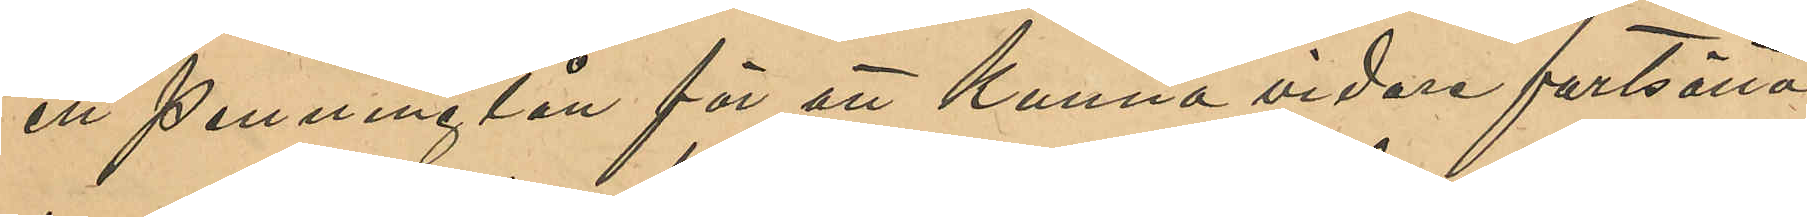ett penninglån för att kunna vidare fortsätta
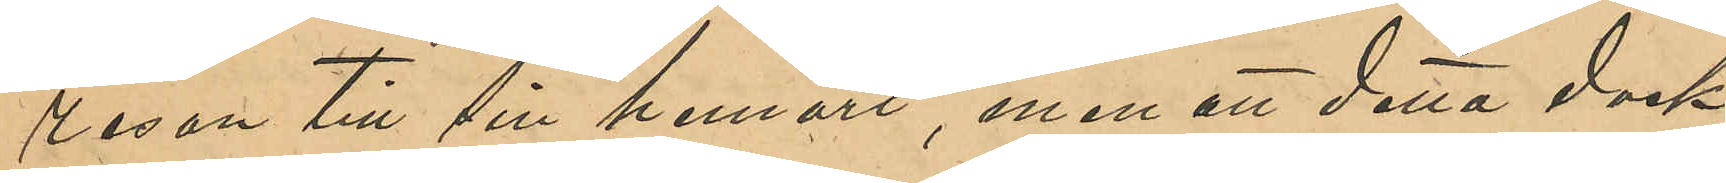resan till sin hemort, men att detta dock
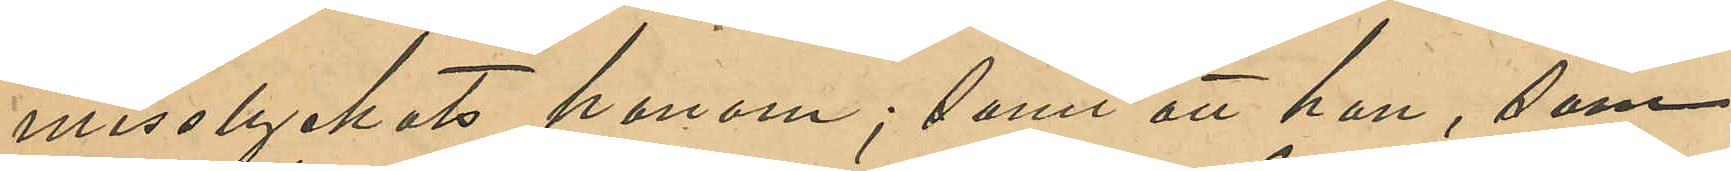misslyckats honom; samt att han, som
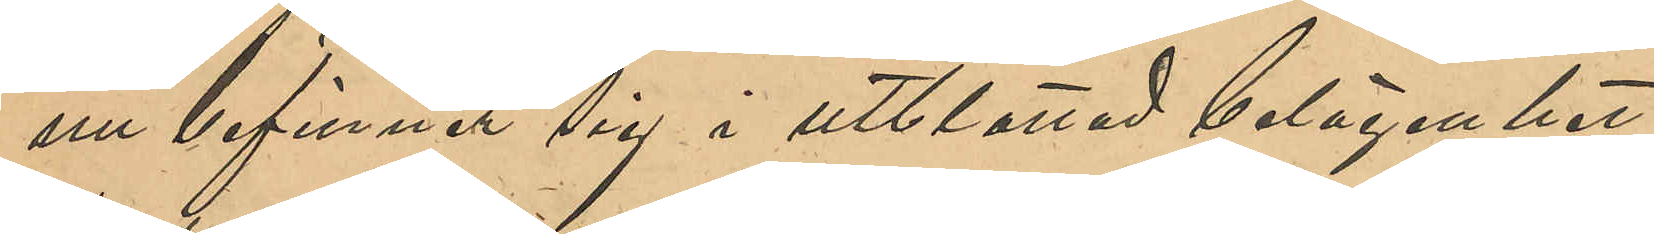nu befinner sig i utblottad belägenhet,
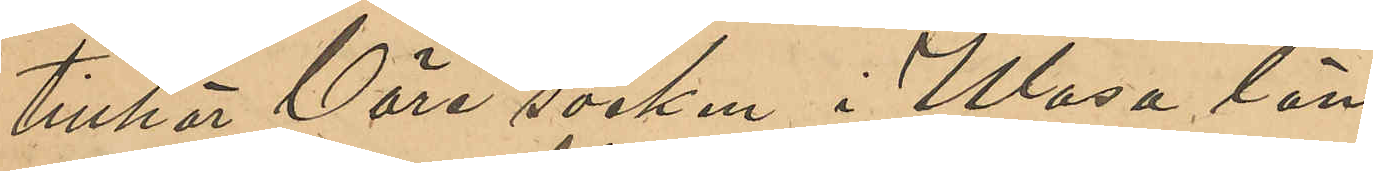tillhör Väre socken i Wasa län.
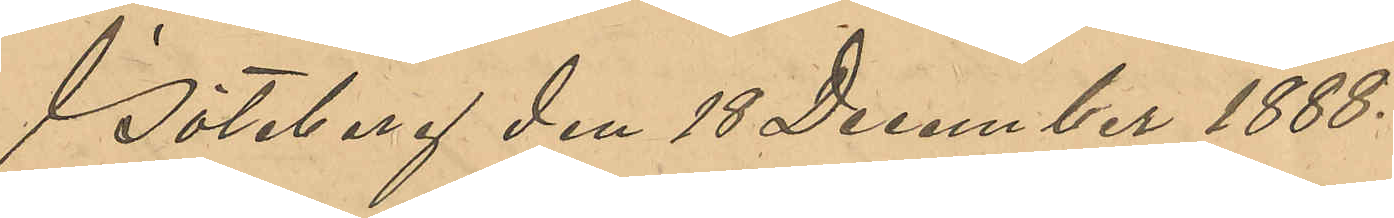Göteborg den 18 December 1888.
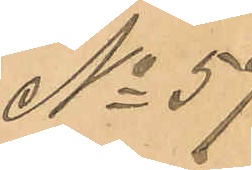No 59
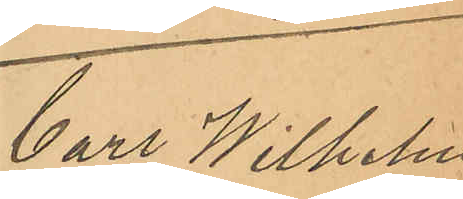Carl Wilhelm
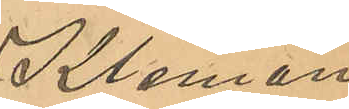Kleman
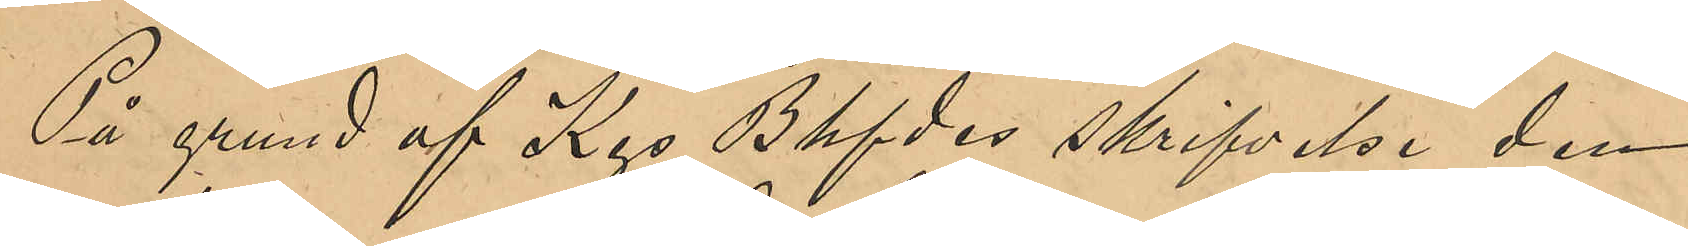På grund af Kgs Bhfdes skrifvelse den
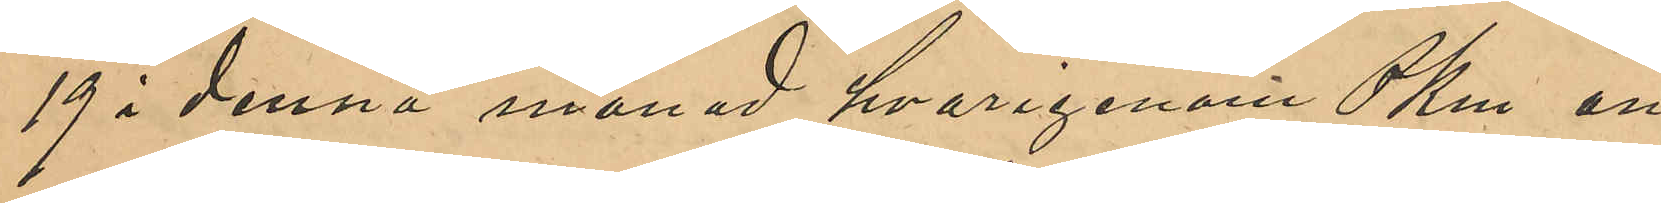19 i denna månad hvarigenom PKm an¬
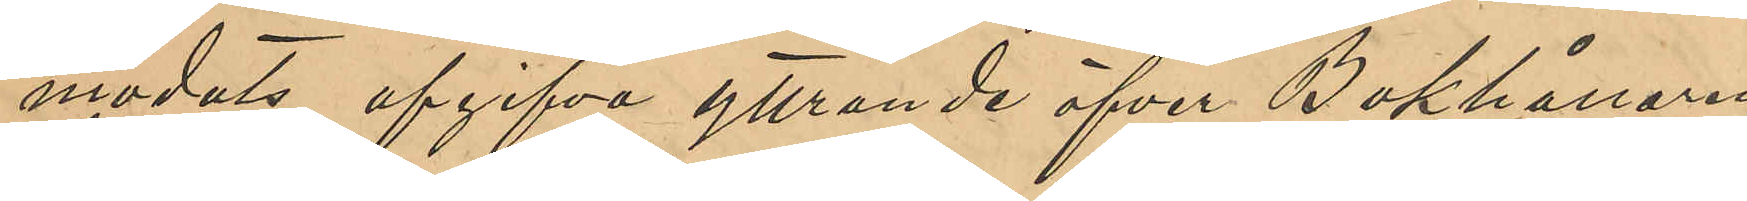modats uppgifva yttrande öfver Bokhållaren
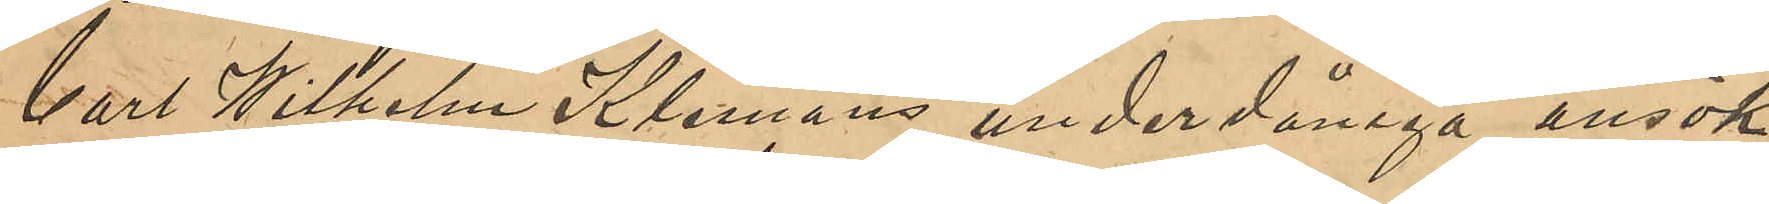Carl Wilhelm Klemans underdåninga ansök¬
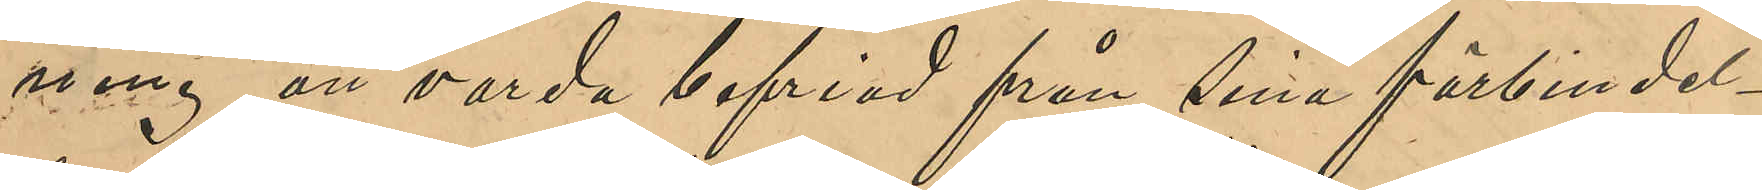ning att varda befriad från sina förbindel¬
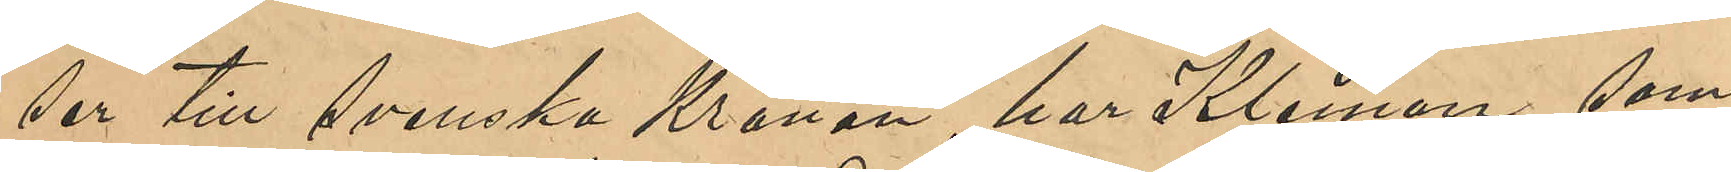ser till Svenska Kronan, har Kleman, som
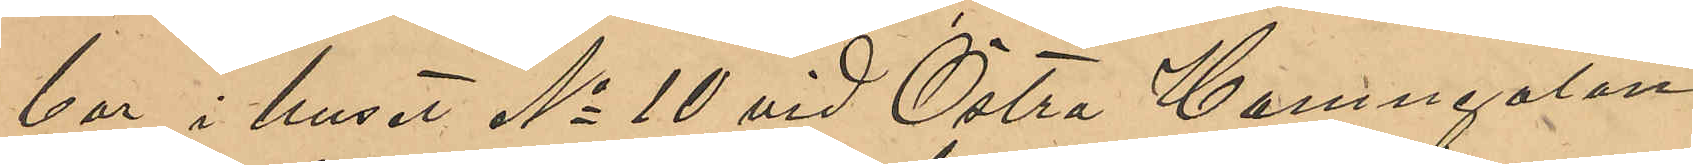bor i huset No 10 vid Östra Hamngatan
